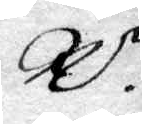R 
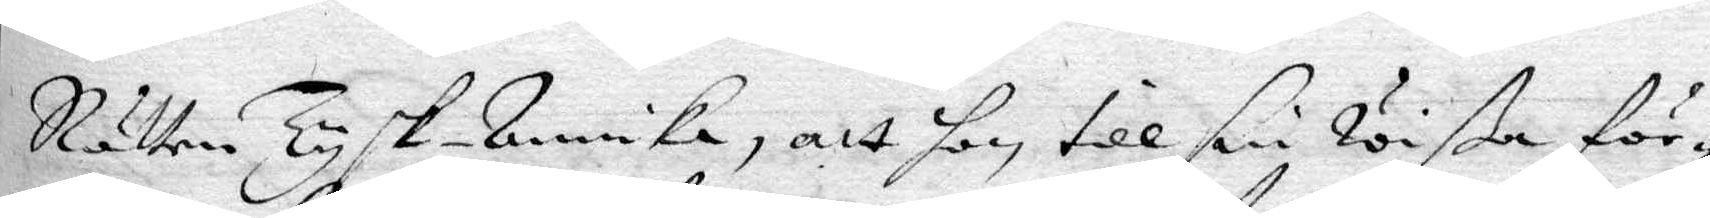Rätten Tysk-Annika, att hon till sin wißa för¬
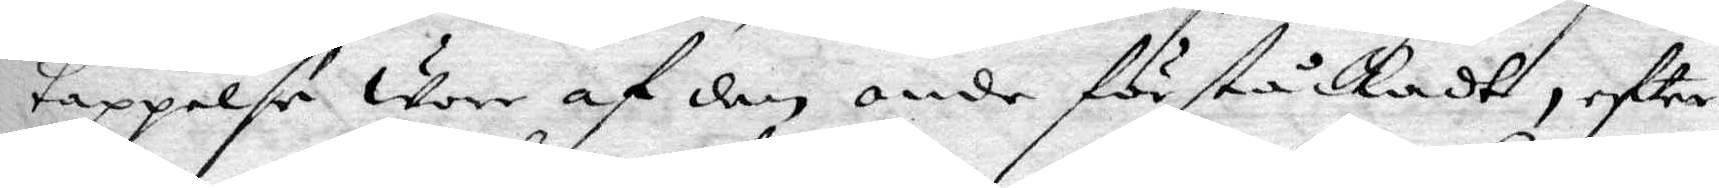tappelse wore af den onde förståckadt, eftter
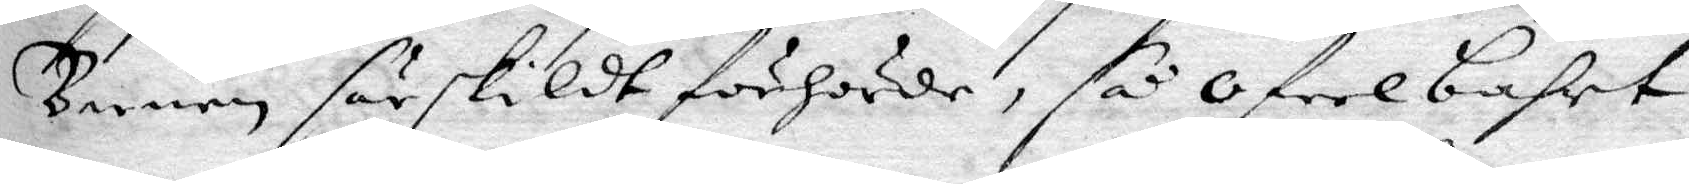Barnen särskildt förhörde, så ofelbart
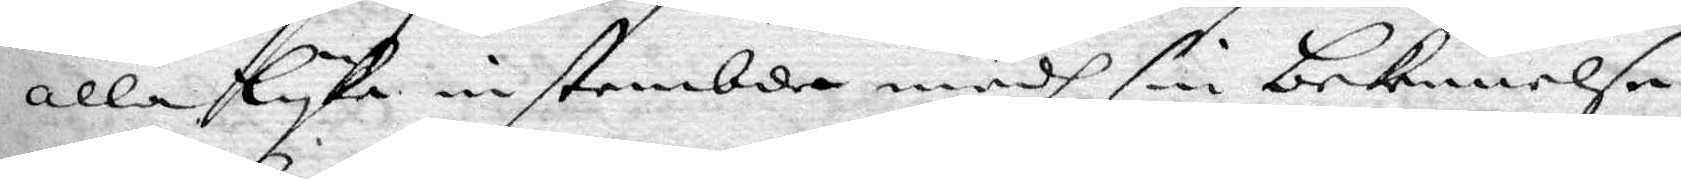alla lyka instämbde medh sin bekennelse
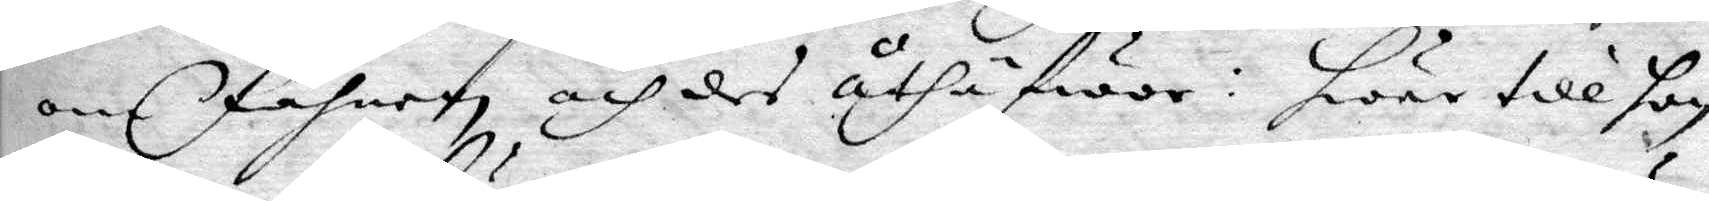om Fahnen och des uthäfwor, hwar till hon
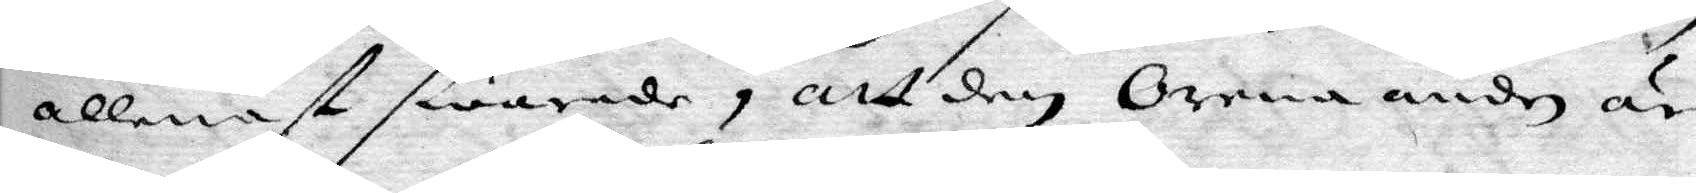allenast swarade, att den orena under är
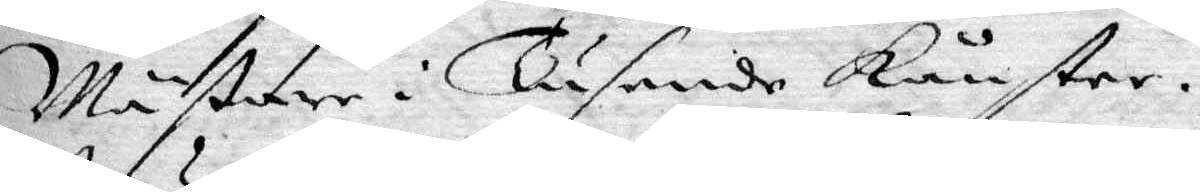Mästare i Tusende konster.
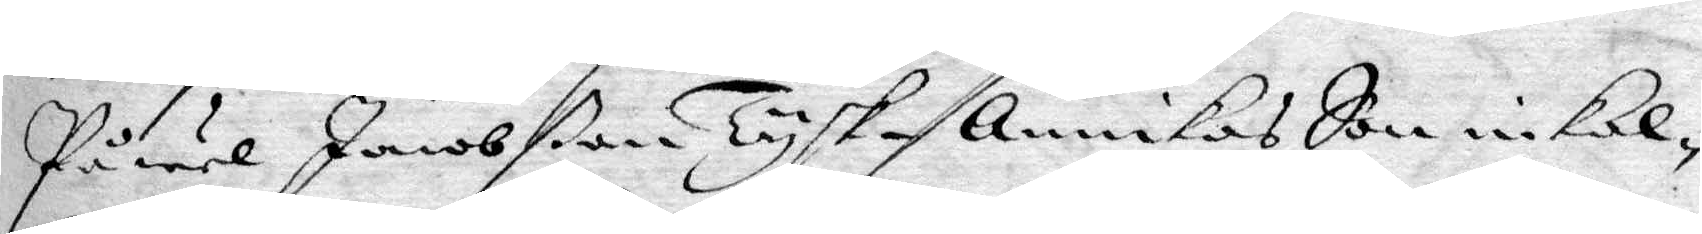Påwel Jacobßon Tysk-Annikas Son inkal¬
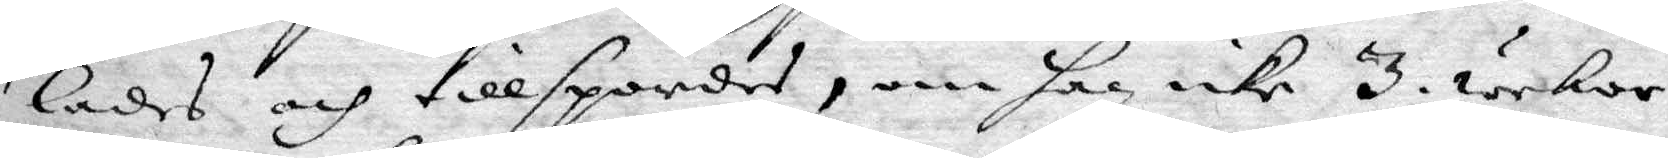lades och tillspordes, om han icke 3. wekor
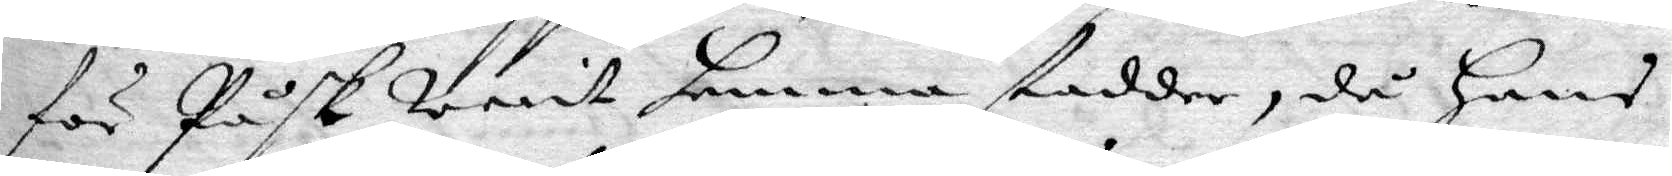för Påsk warit hemma stadder, då hans
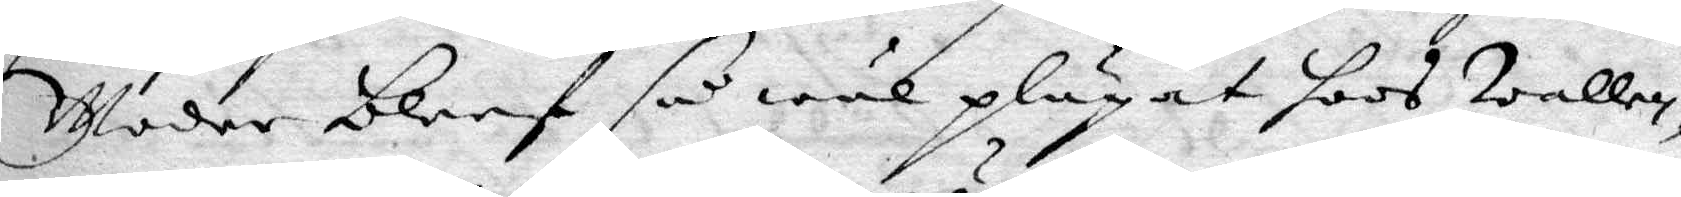Moder bleef så wäl plägat hoos Wallen,
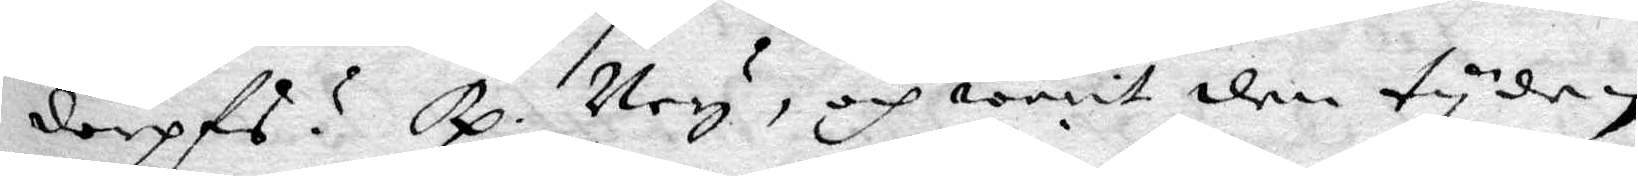dorpfs? Rp. Ney, och warit den tyden 
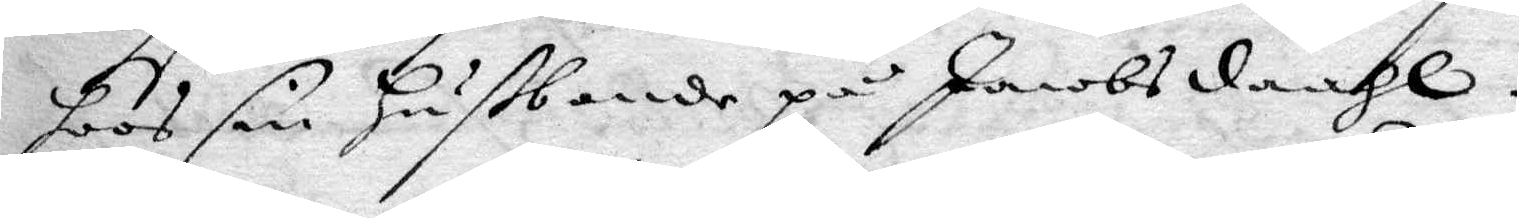hoos sin Hußbonde på Jacobsdaahl.
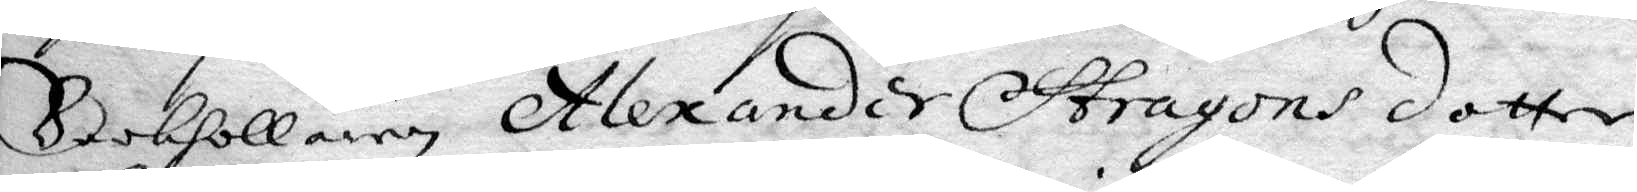Bokhållaren Alexander Stragons dotter
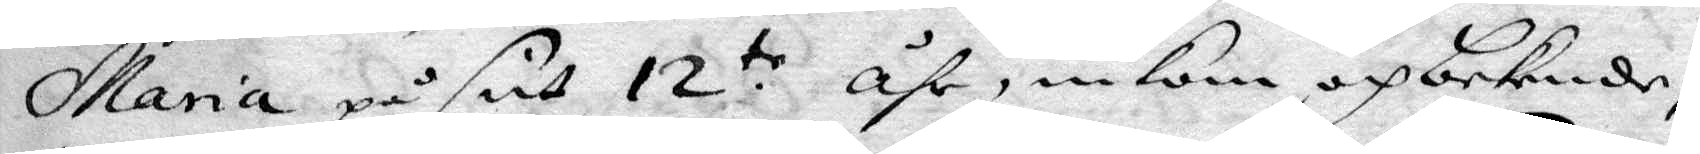Maria på sitt 12 åhr, inkom och bekende,
